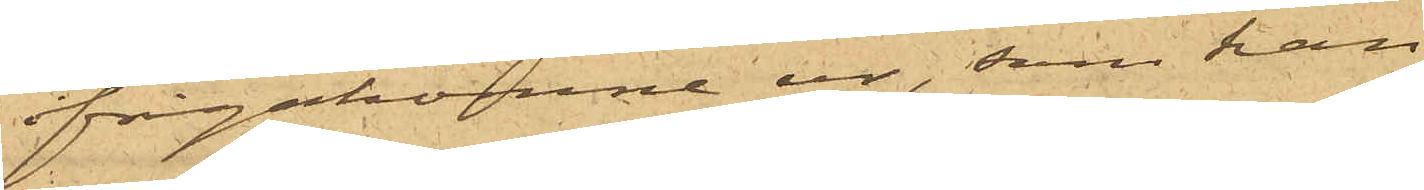ifrågakomne ur, som han
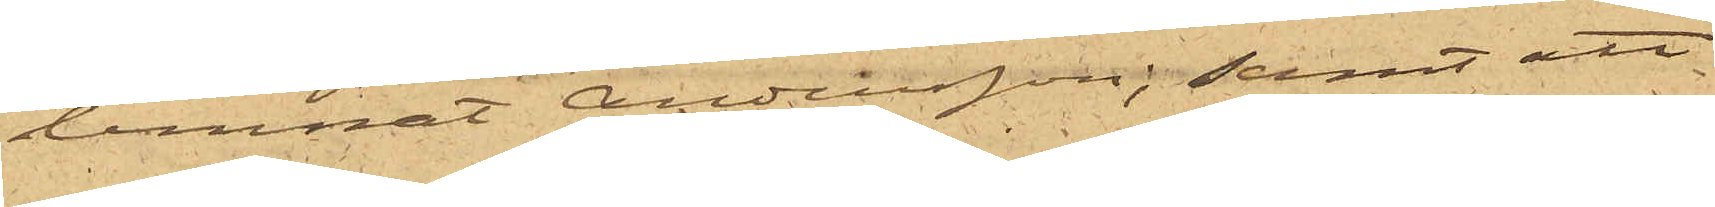lemnat Andersson; samt att
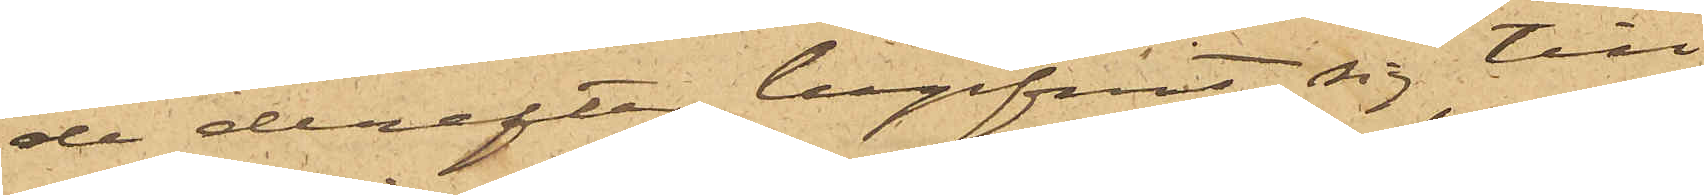de derefter begifvit sig till
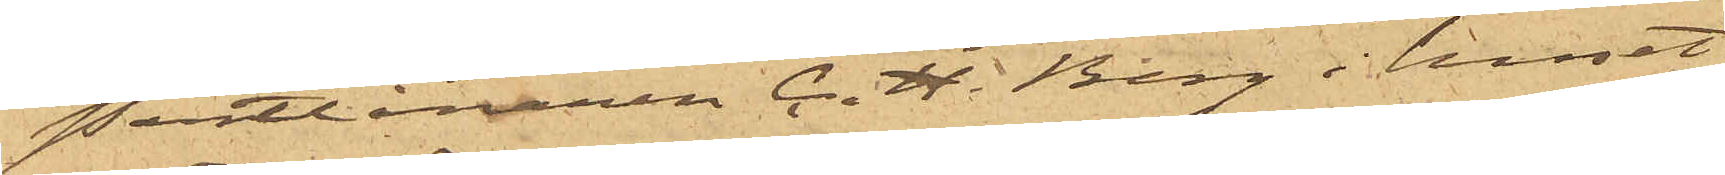Pantlånaren C. H. Berg i huset
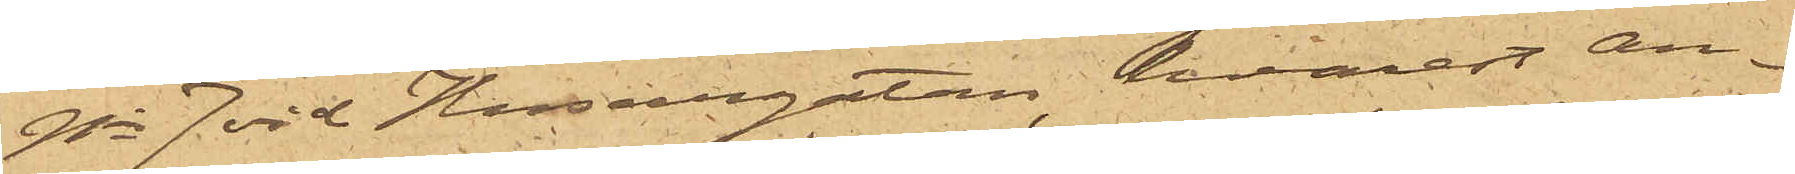No 7 vid Husargatan, hvarest an¬
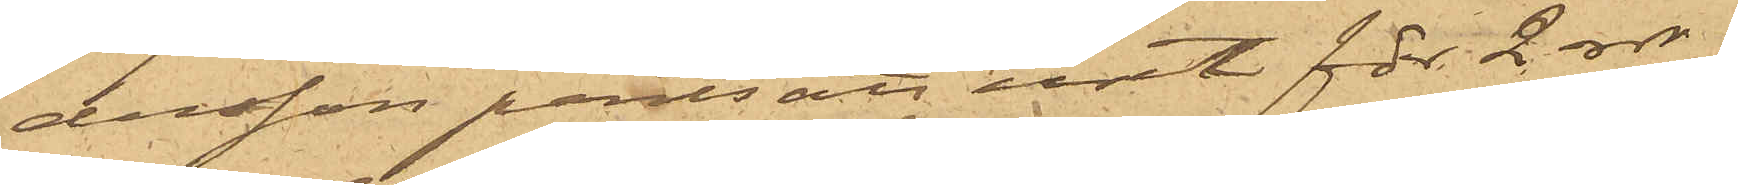dersson pantsatt uret för 2 rdr,
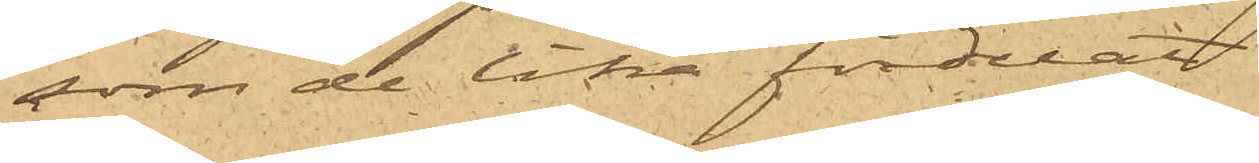som de lika fördelat.
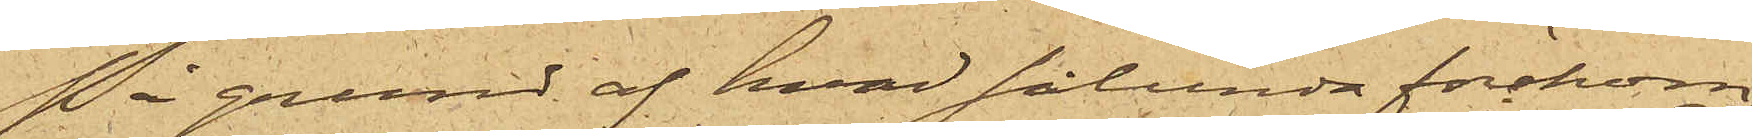På grund af hvad sålunda förekom¬
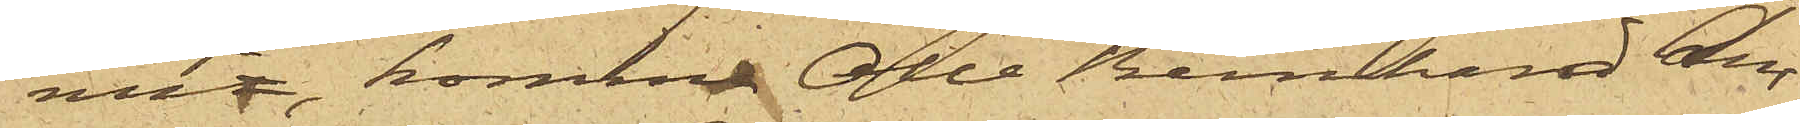mit, komma Olle Bernhard An¬
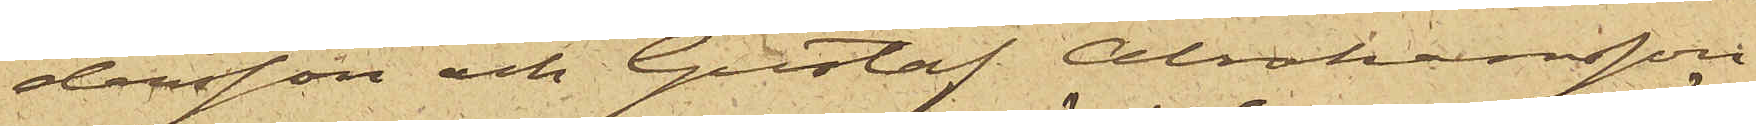dersson och Gustaf Abrahamsson
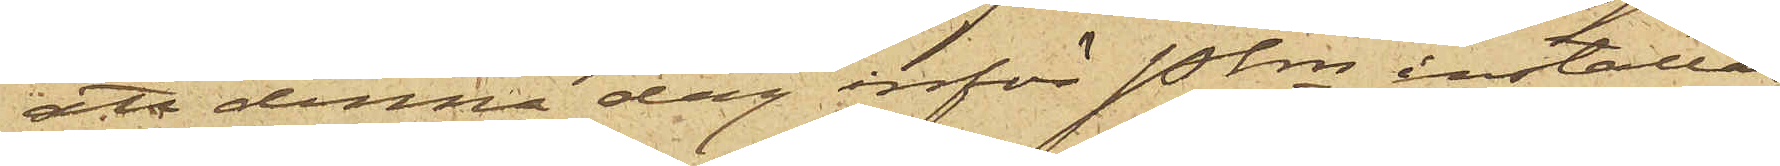att denna dag inför Pkn inställas.
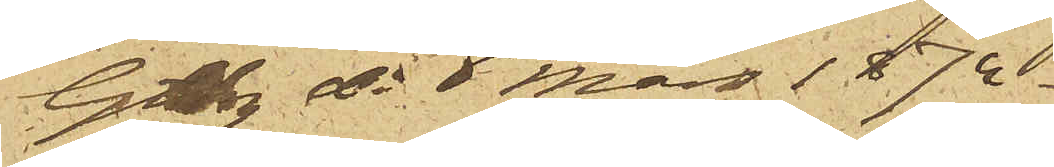Gtbg d. 6 Mars 1874.
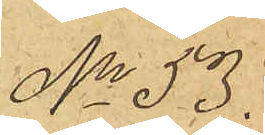No 53.
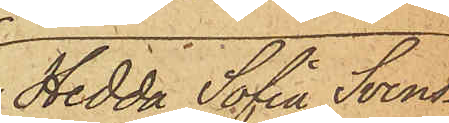Hedda Sofia Svens¬
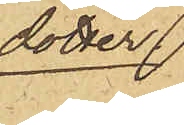dotter
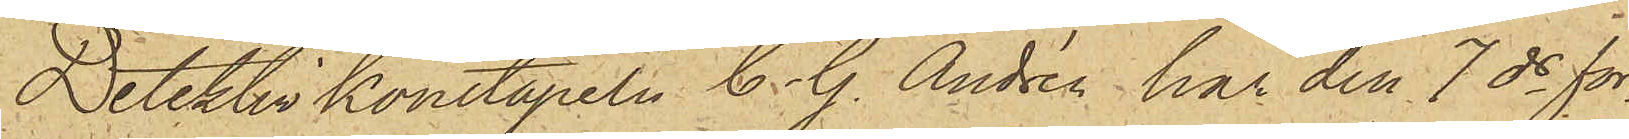Detektivkonstapeln C. G. Andrén har den 7 ds för
